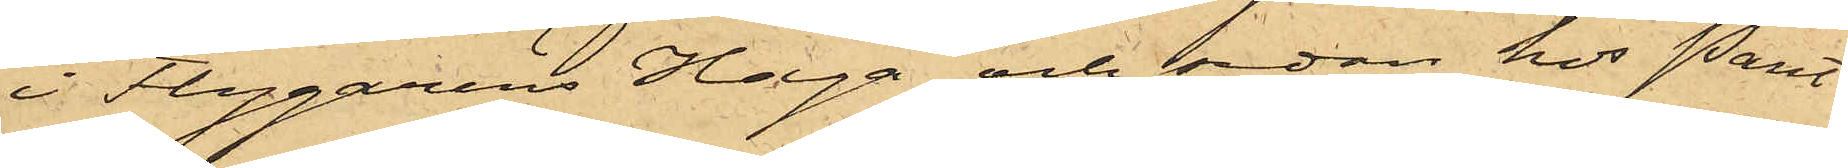i Flygarens Haga och sedan hos Pant¬
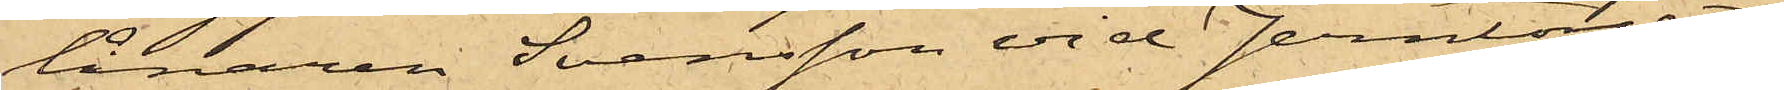lånaren Svensson vid Jerntorget;
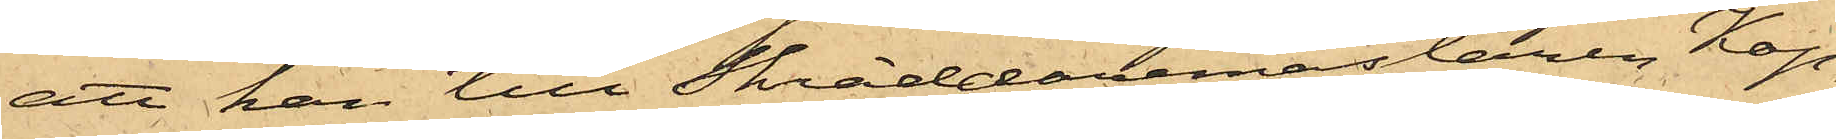att han till Skräddaremästaren Kop¬
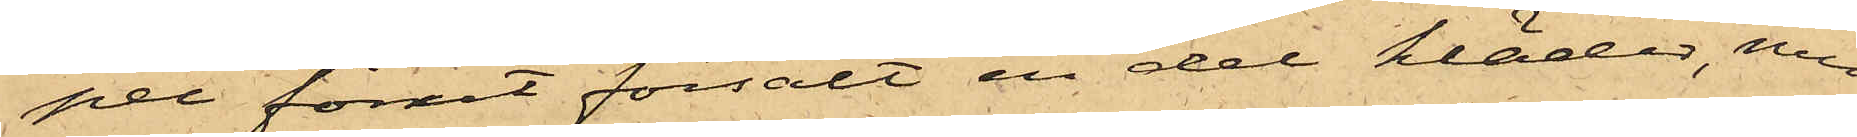per förut försålt en del kläder, men
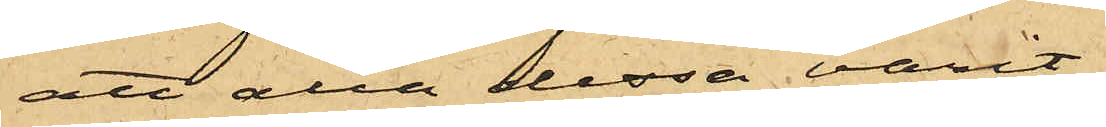att alla dessa varit
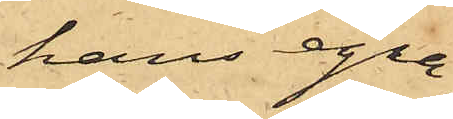hans egna,
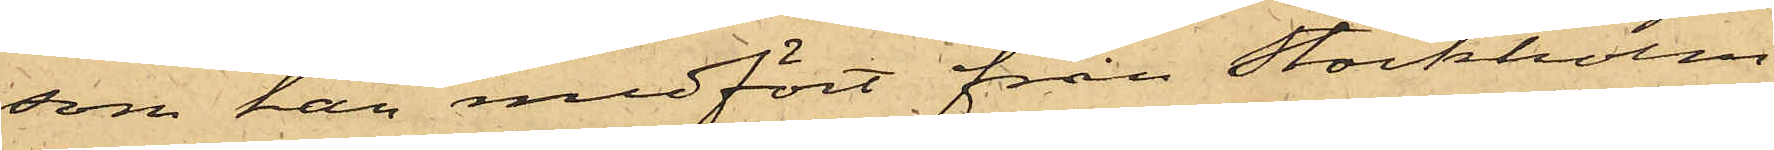som han medfört från Stockholm;
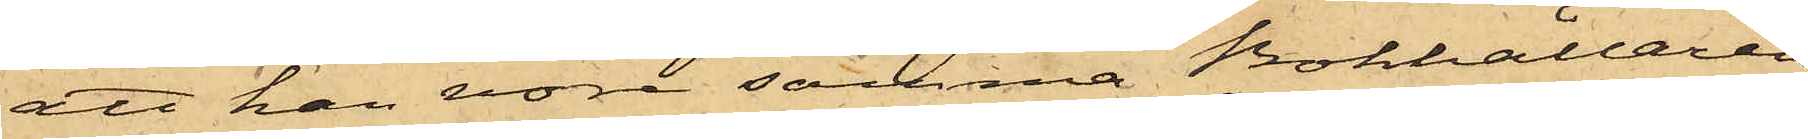att han vore samma Bokhållaren
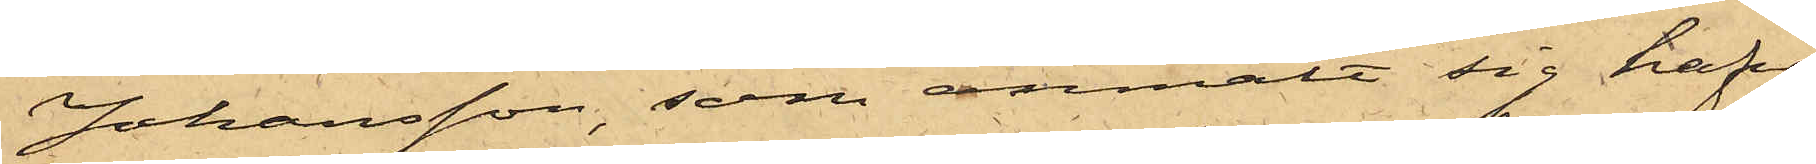Johansson, som anmält sig hafva
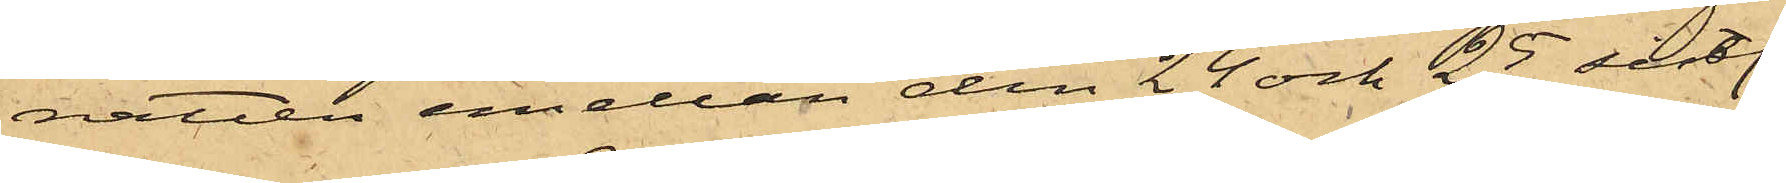natten emellan den 24 och 25 sistl.
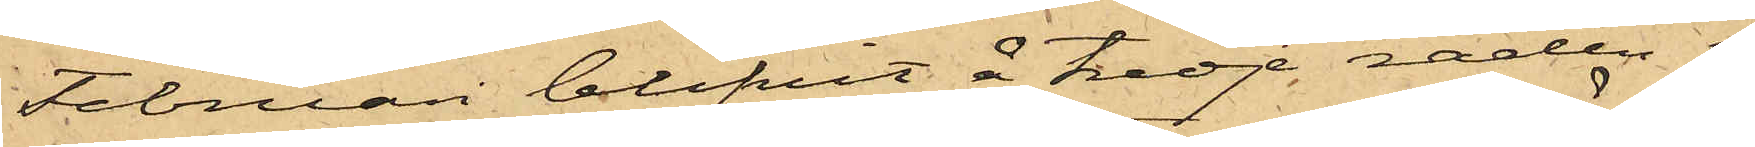Februari blifvit å Tredje raden i
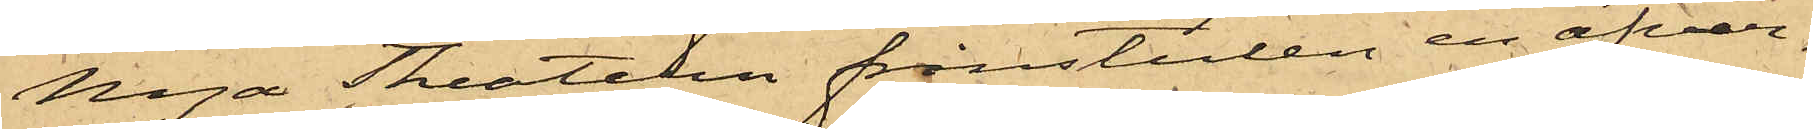Nya Theatern frånstulen en öfver¬
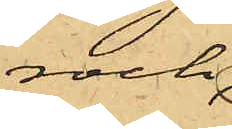rock;
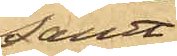samt
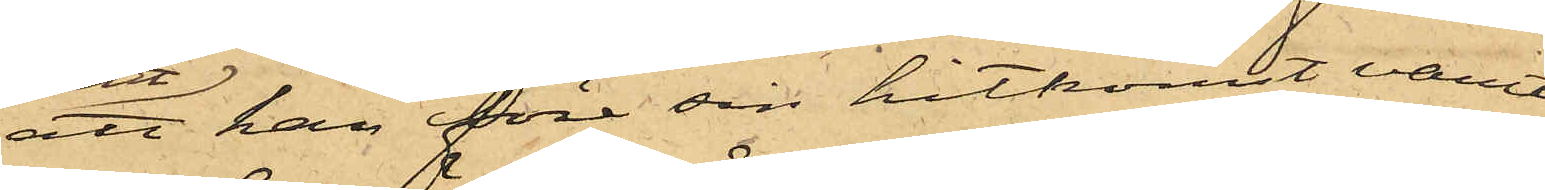att han före sin hitkomst varit
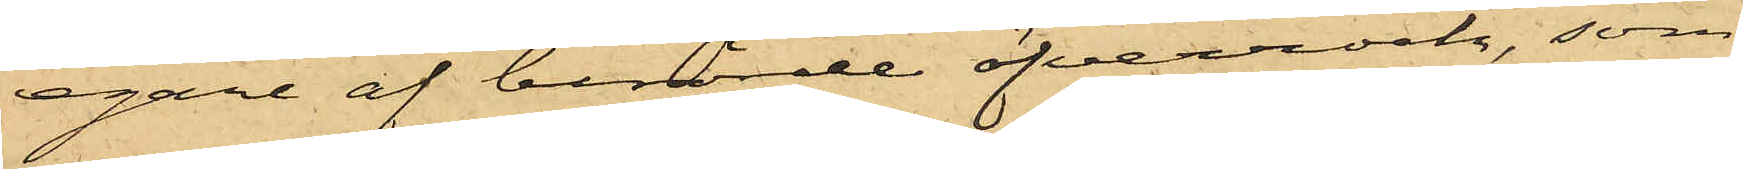egare af berörde öfverrock, som
